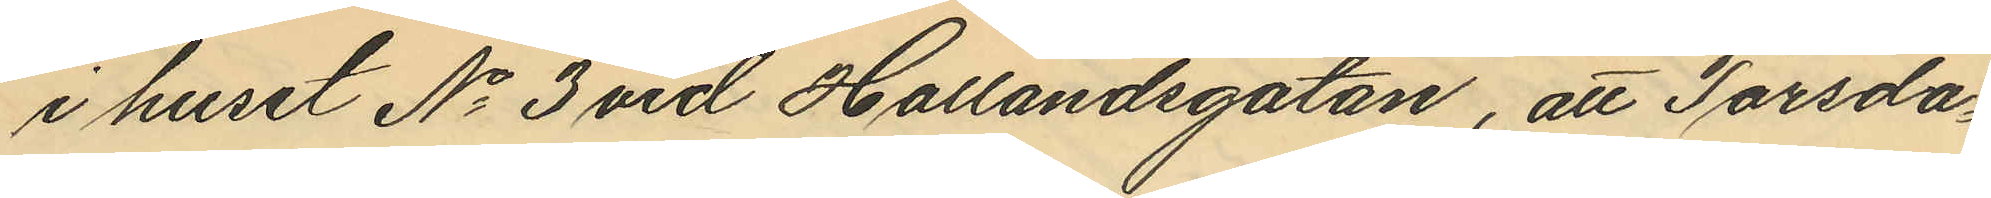i huset No 3 vid Hallandsgatan, att Torsda¬
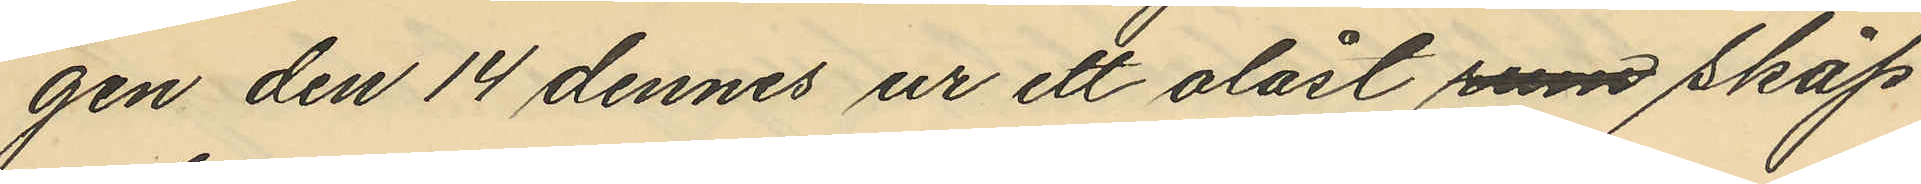gen den 14 dennes ur ett olåst rum skåp
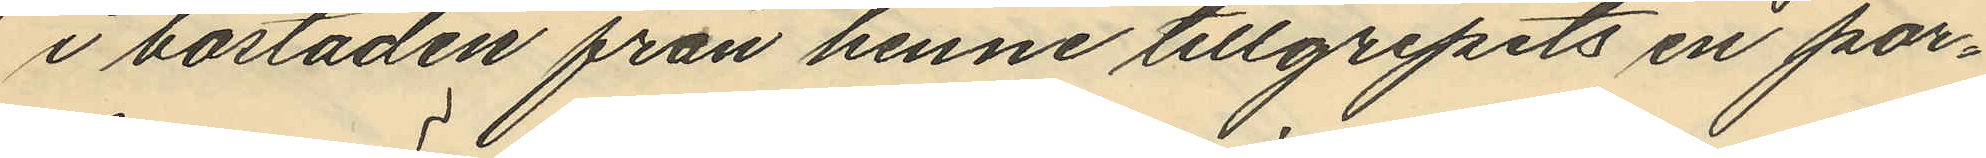i bostaden från henne tillgripits en por¬
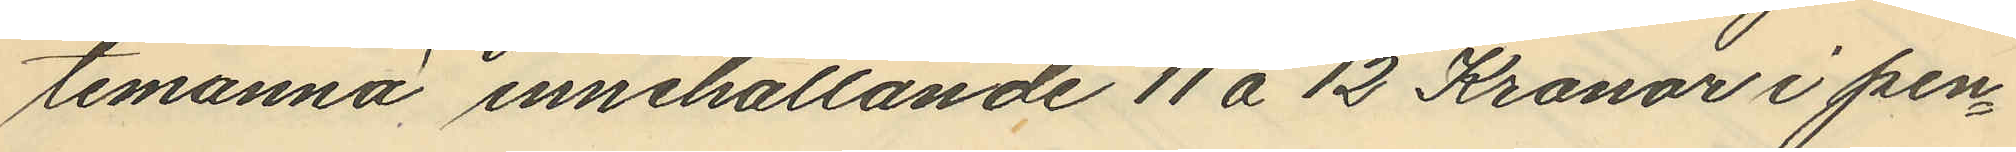temannä innehållande 11 á 12 Kronor i pen¬
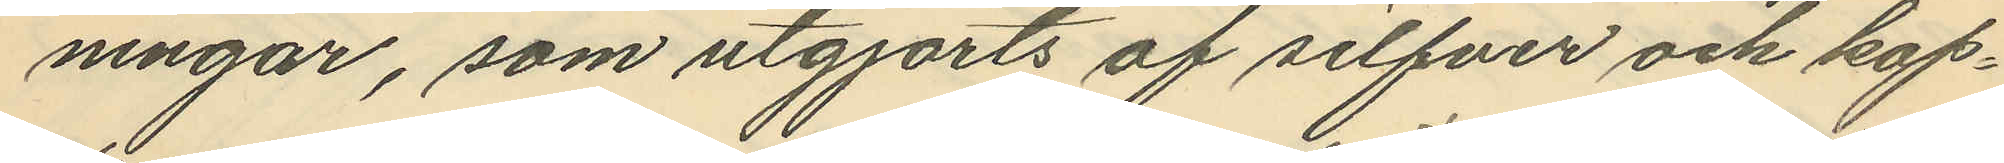ningar, som utgjorts af silfver och kop¬
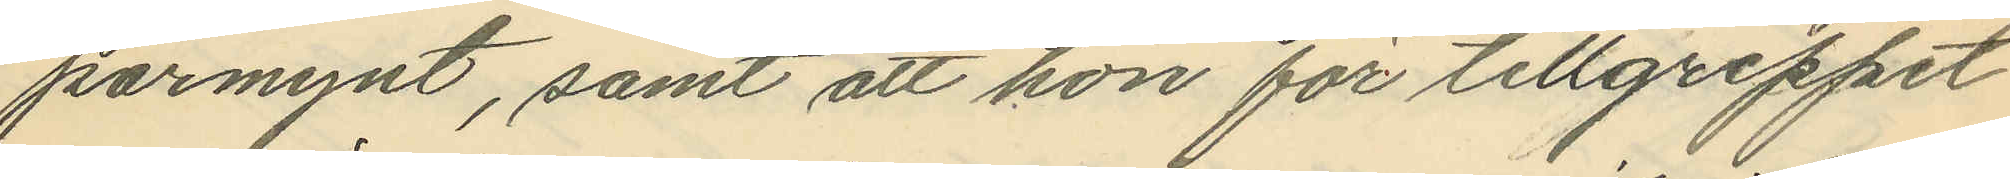parmynt, samt att hon för tillgreppet
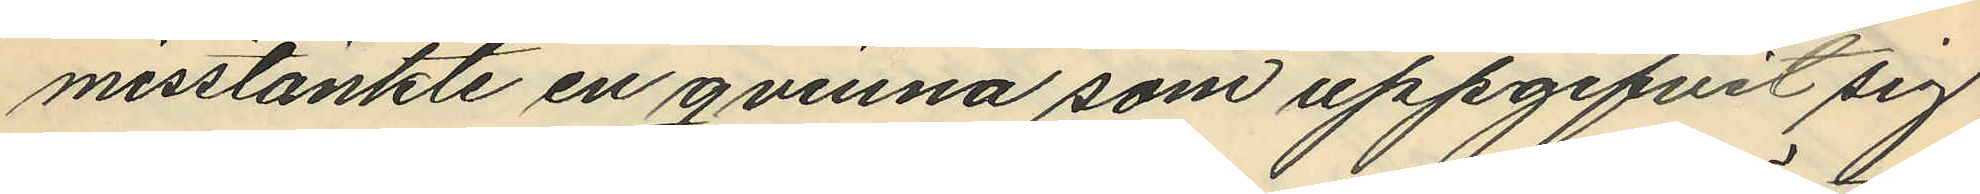misstänkte en qvinna som uppgifvit sig
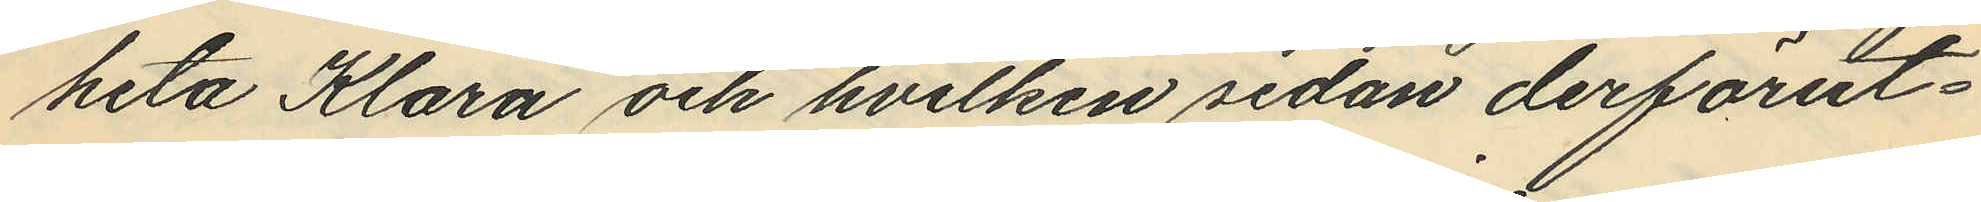heta Klara och hvilken sedan derförut¬
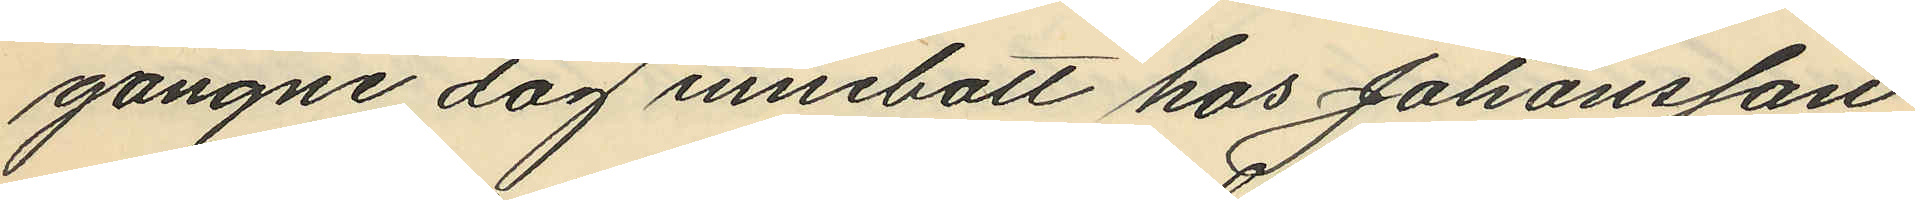gångne dag innebott hos Johansson
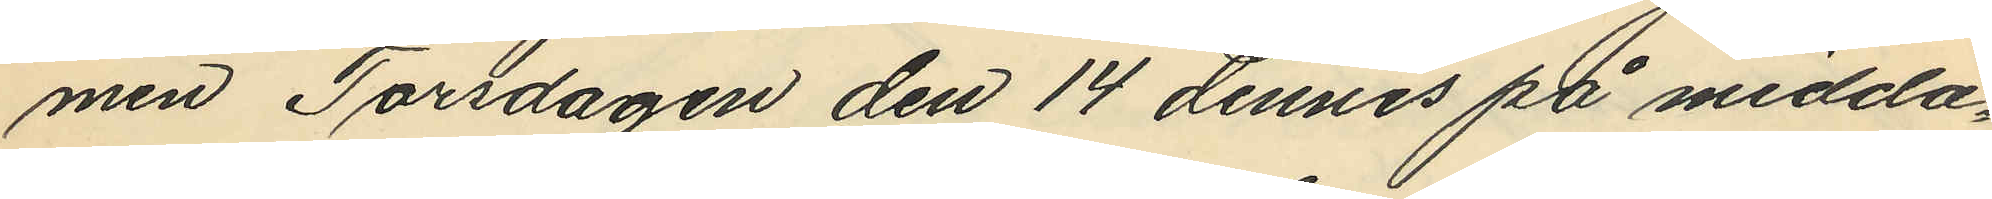men Torsdagen den 14 dennes på midda¬
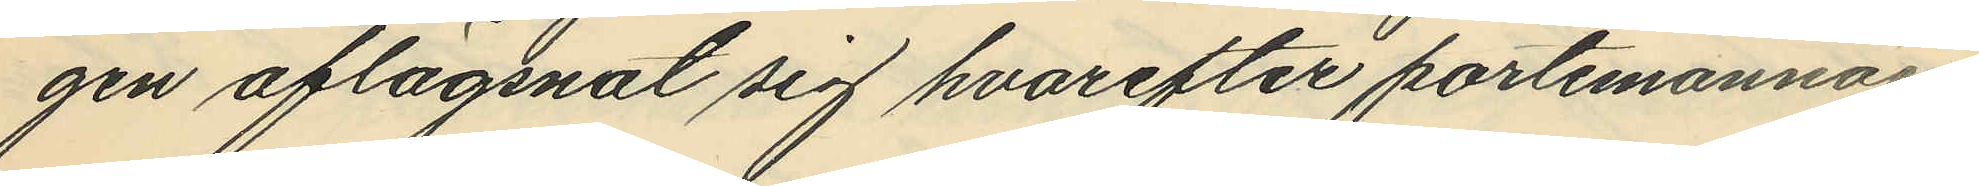gen aflägsnat sig hvarefter portemonnäen
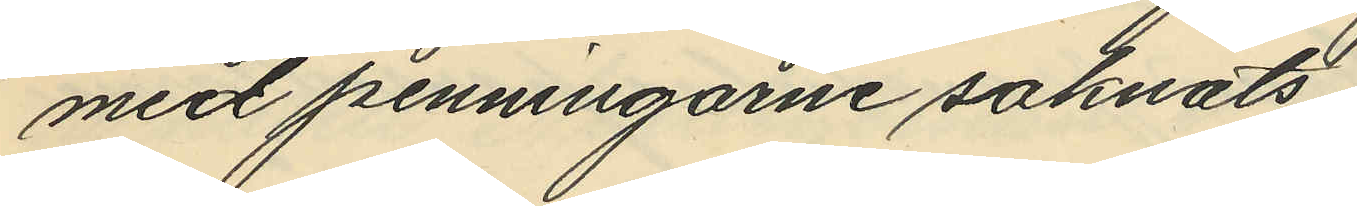med penningarne saknats.
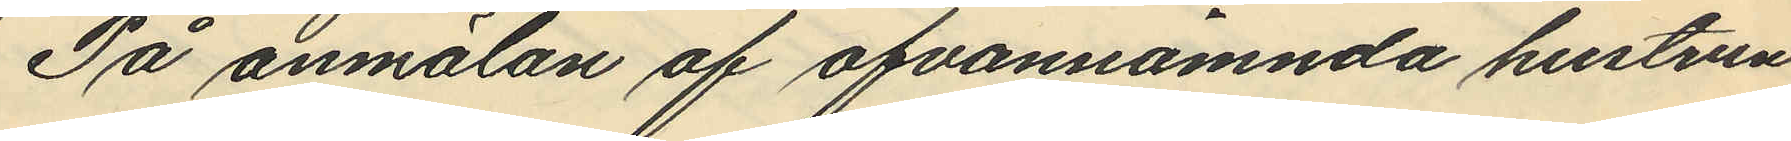På anmälan af ofvannämnda hustrun
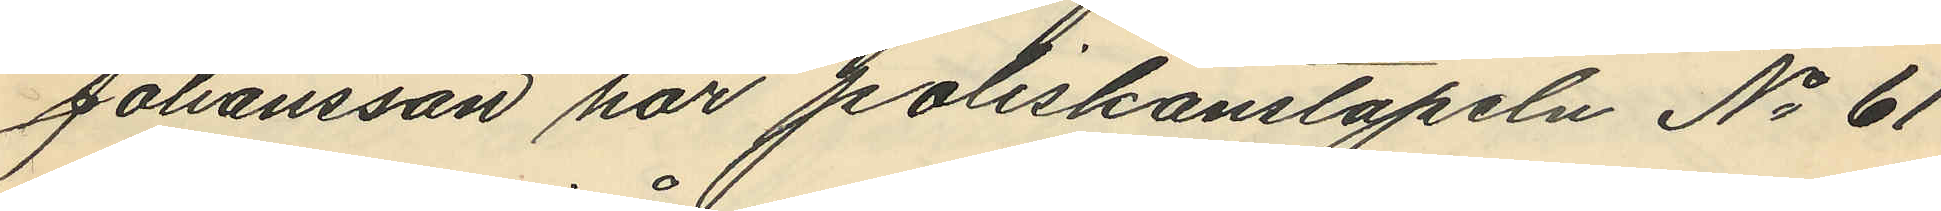Johansson har poliskonstapeln No 61
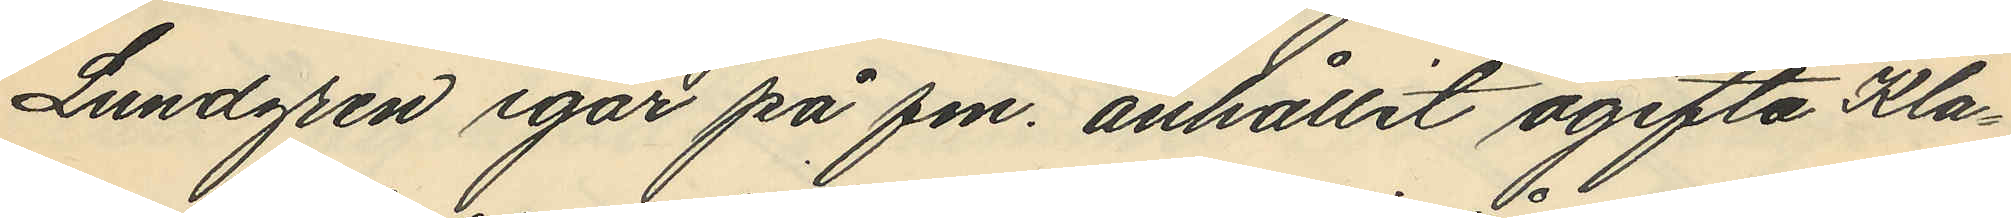Lundgren igår på fm. anhållit ogifta Kla¬
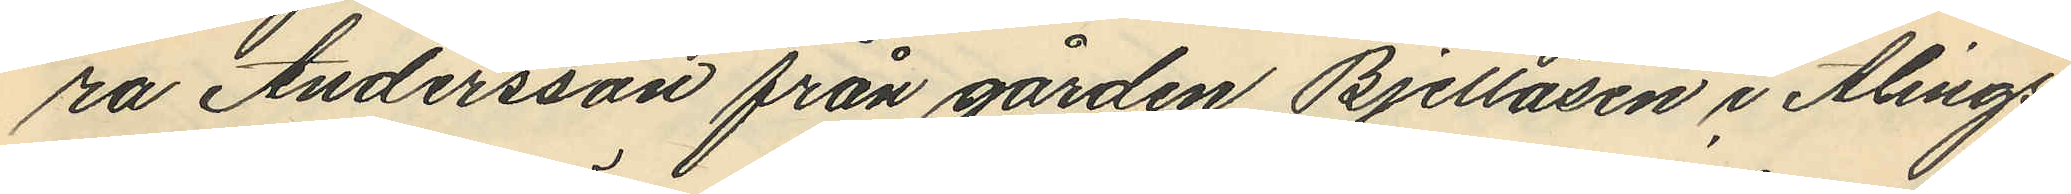ra Andersson från gården Bjellåsen i Alings¬
